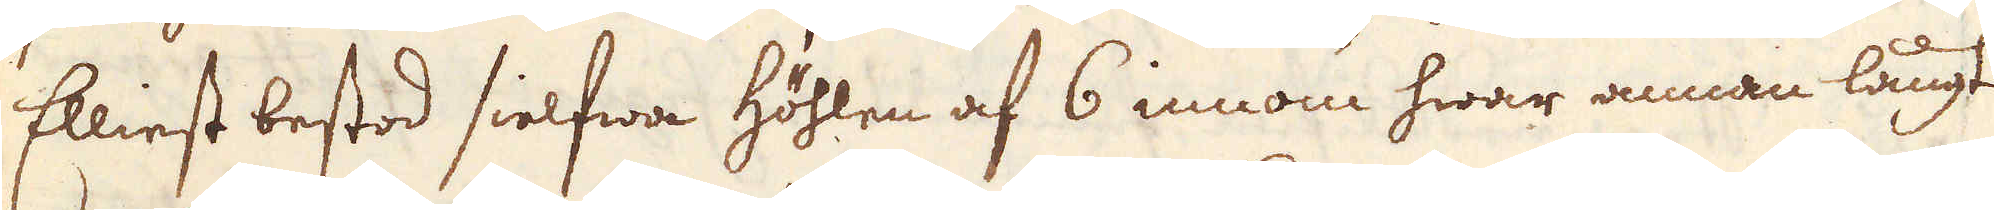Elliest bestod sielfwa höhlen af 6 innom hwar annan långt
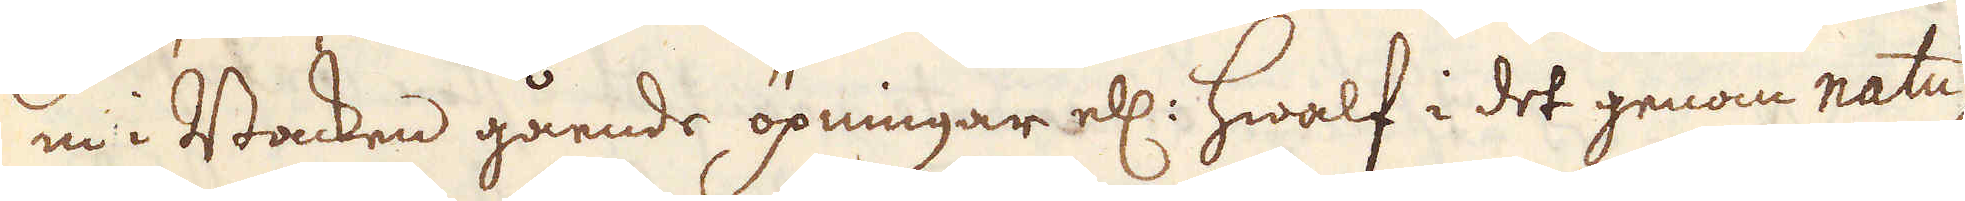in i Backen gående öpningar ell: hwalf i det genom natu-
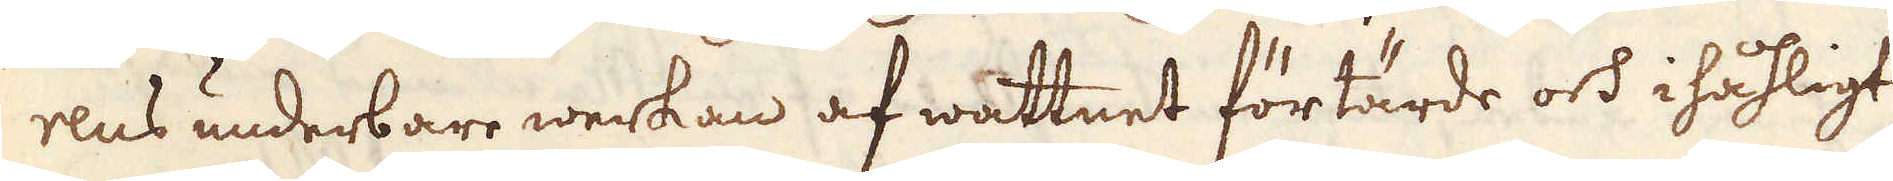rens underbare werkan af wattnet förtärde och i håhligt
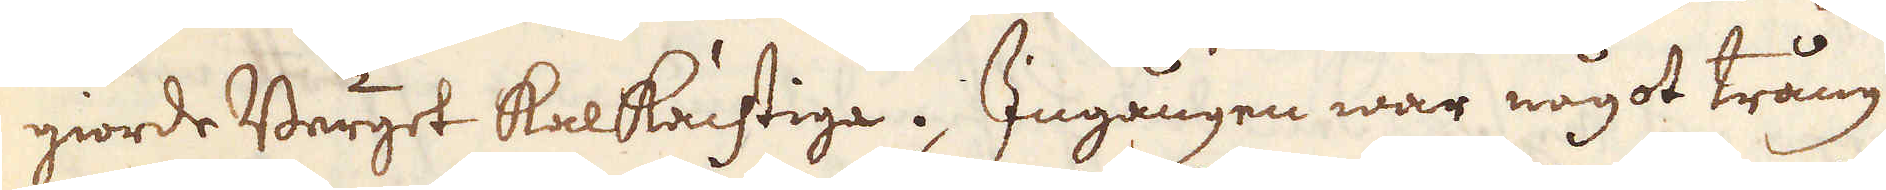giorde Berget kalkachtige. Ingången war något trång
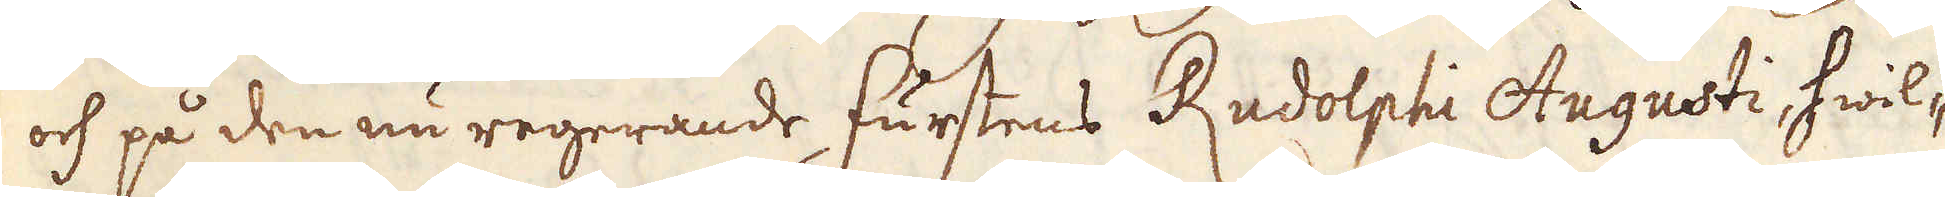och på den nu regerande furstens Rudolphi Augusti, hwil-
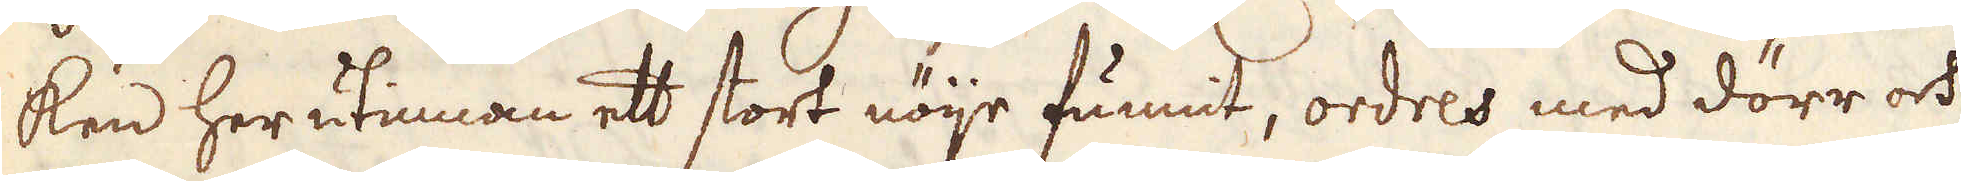ken her utinnan ett stort nöje funnit, ordres med dörr och
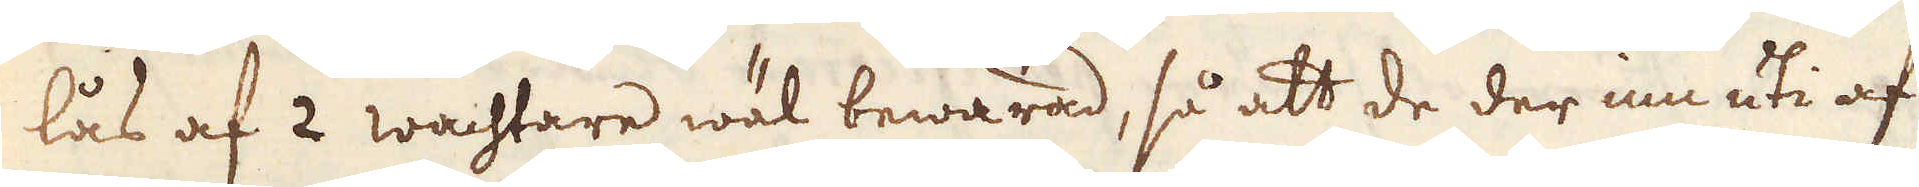lås af 2 wachtare wäl bewarad, så att de der inn uti af
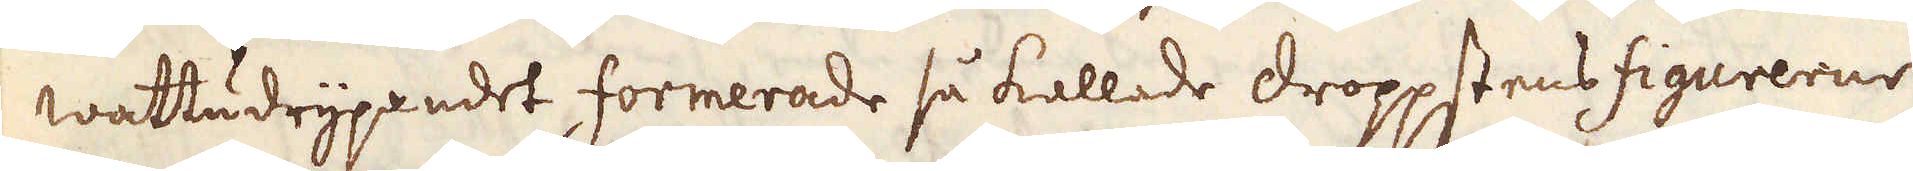wattudrypandet formerade så kallade droppstens figurerne
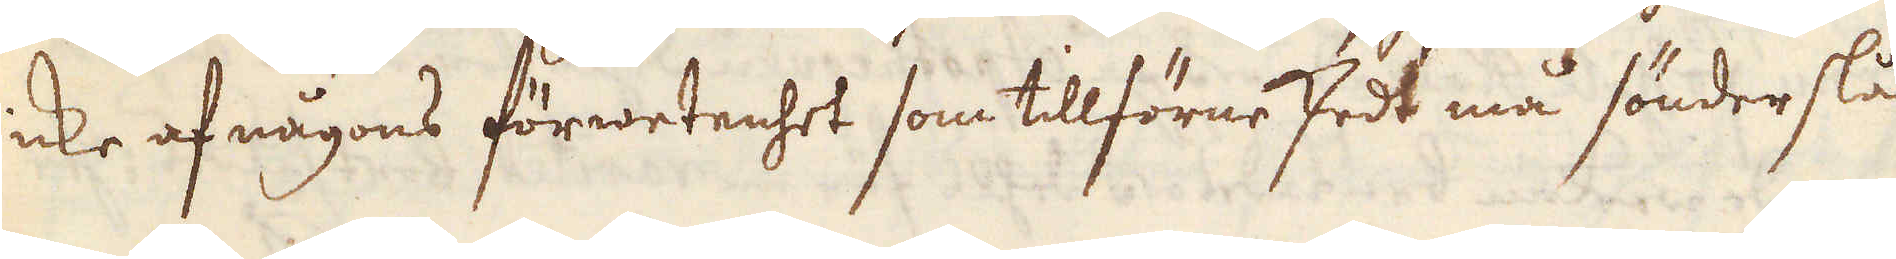icke af någons förwetenhet som tillförne sedt må sönder slås
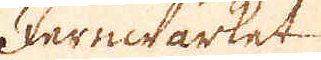Jernwärket
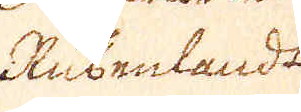Rubenlandt
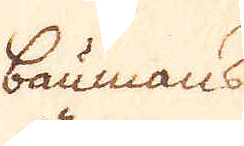baumanss
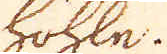höhln.
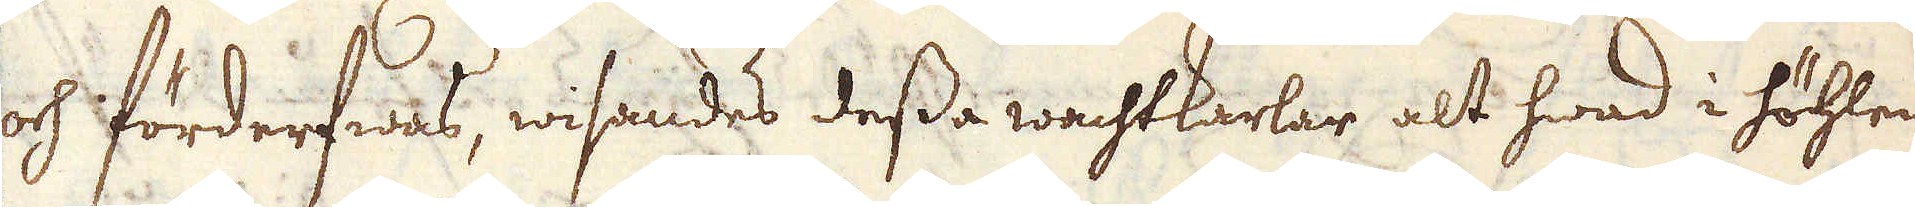och förderfwas, wisandes dessa wachtkarlar alt hwad i höhlen
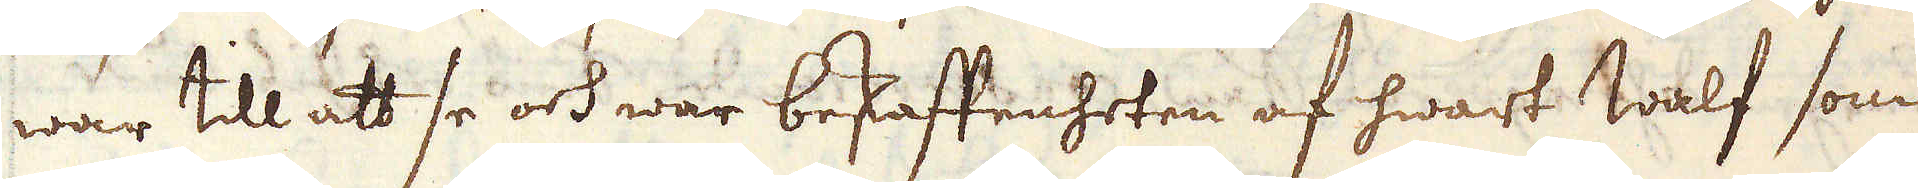war till att se och war beskaftenheten af hwart walf som
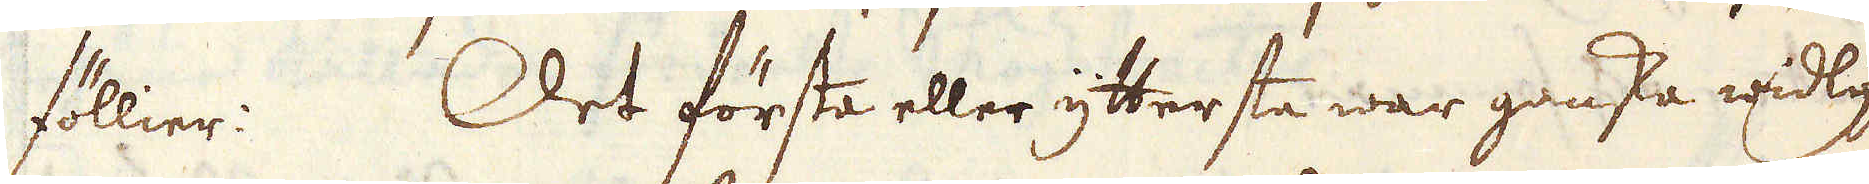föllier: Det första eller yttersta war ganska widlyftig
